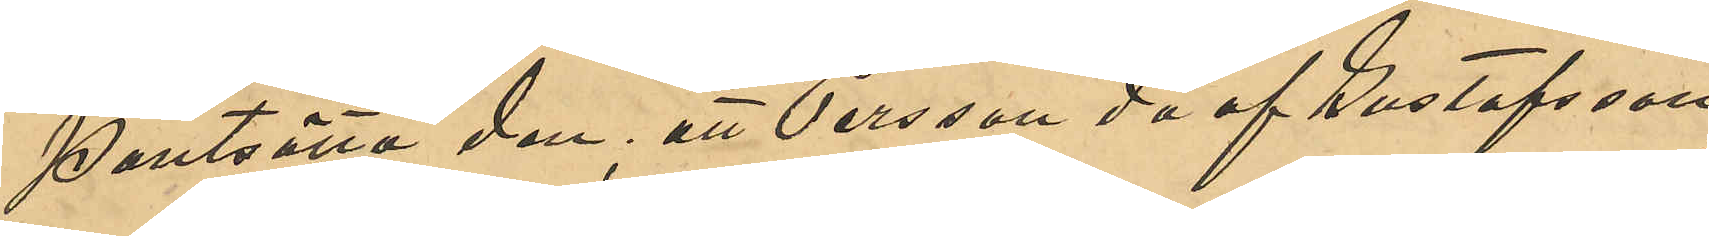pantsätta den; att Persson då af Gustafsson
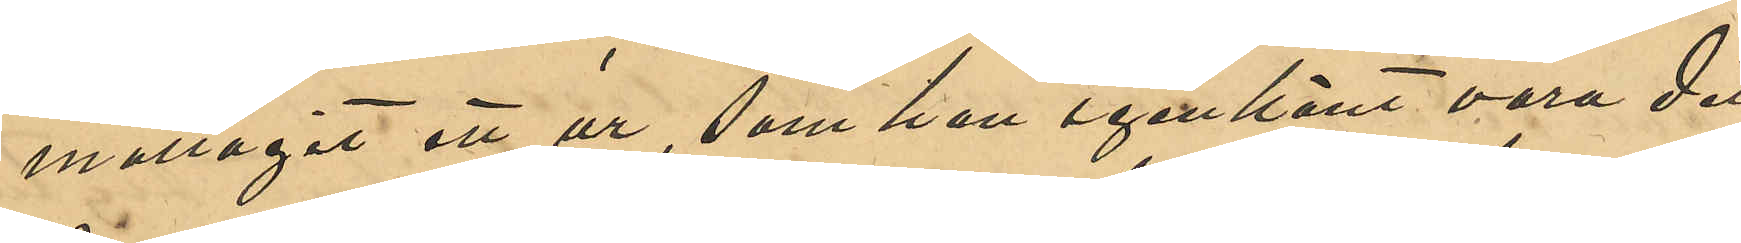emottagit ett ur, som han igenkänt vara det¬
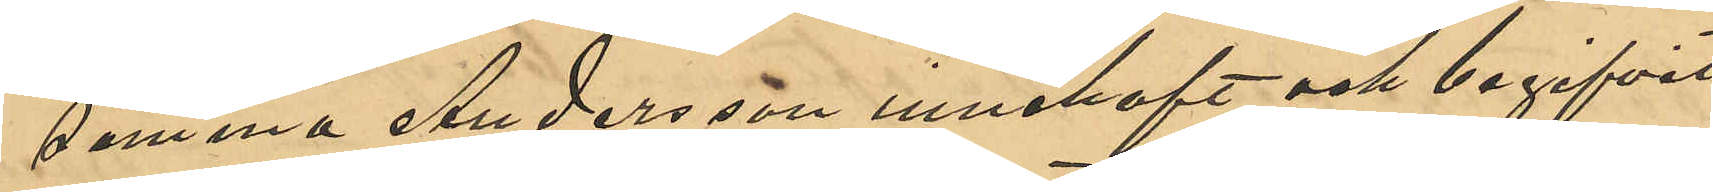samma Andersson innehaft och begifvit
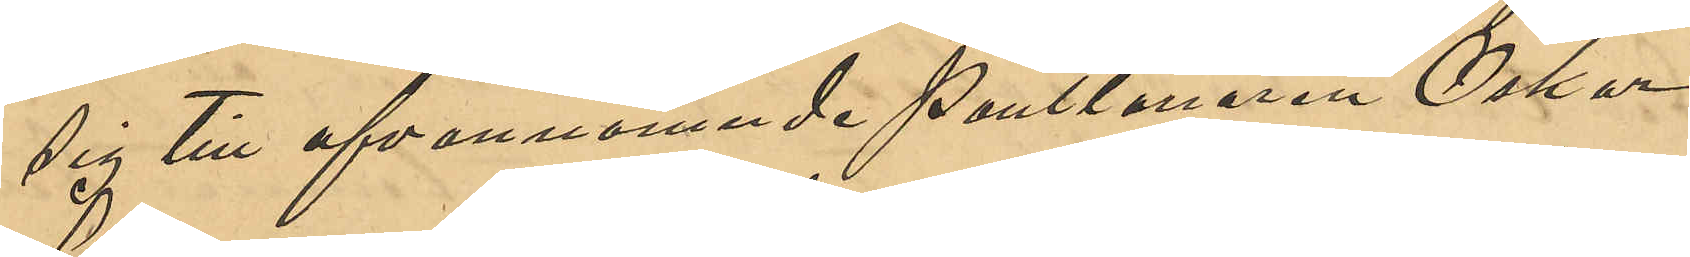sig till ofvannämnde Pantlånaren Oskar
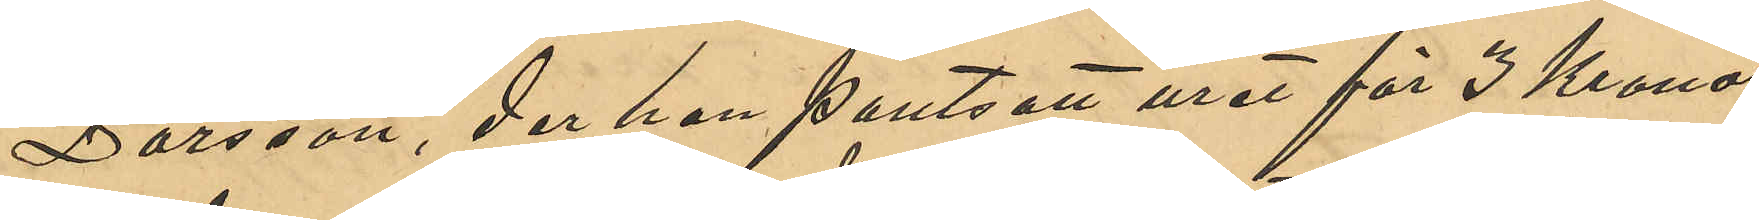Larsson, der han pantsatt uret för 3 Kronor,
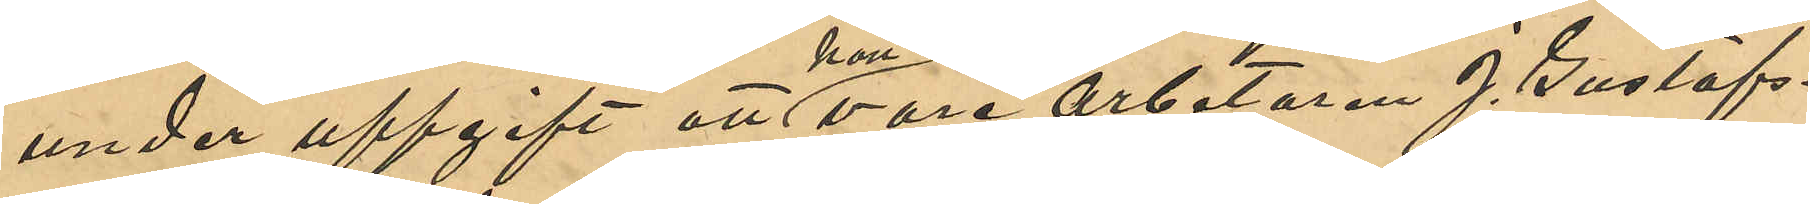under uppgift att han vore arbetaren J. Gustafs¬
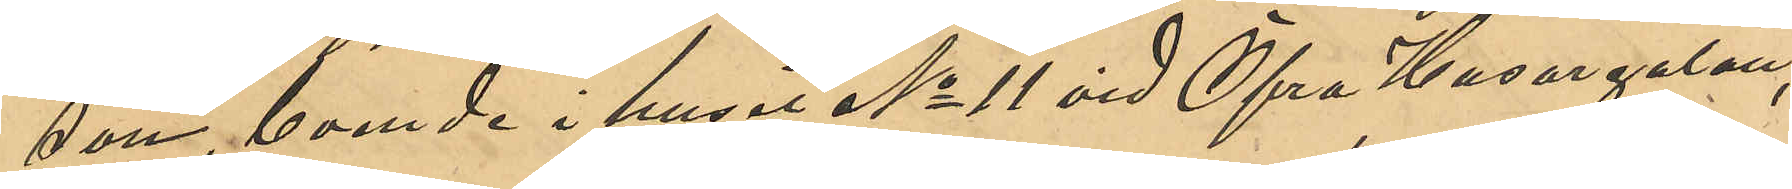son, boende i huset No 11 vid Öfra Husargatan;
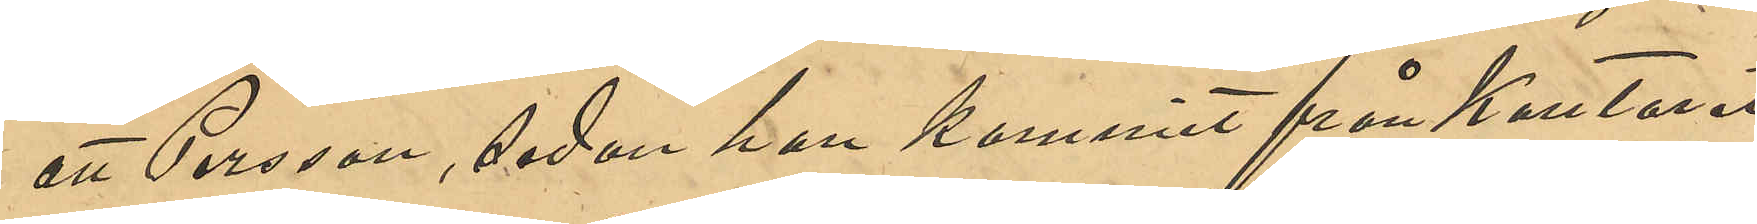att Persson, sedan han kommit från Kontoret
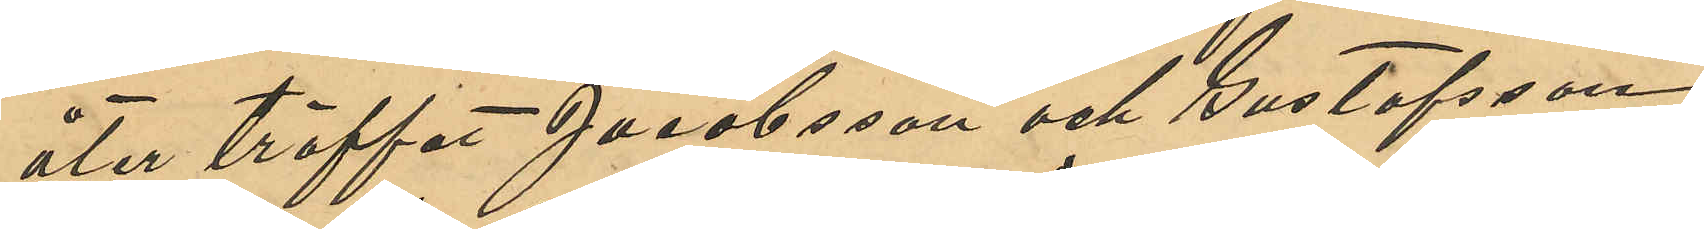åter träffat Jacobsson och Gustafsson;
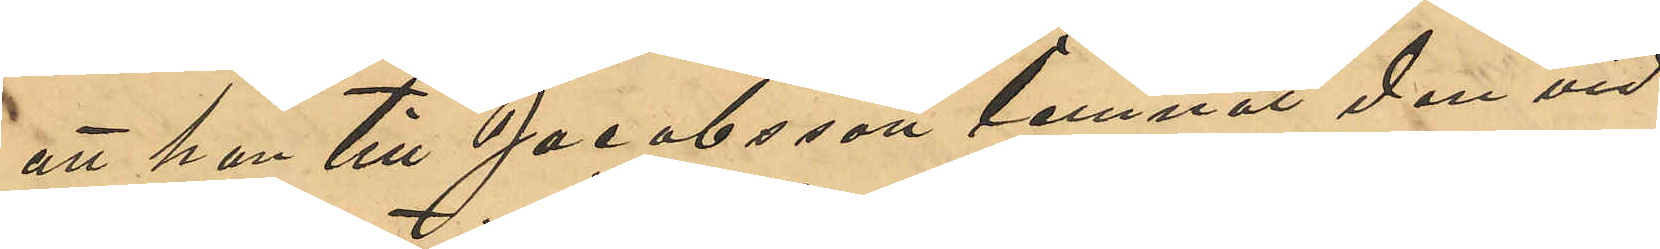att han till Jacobsson lemnat den vid
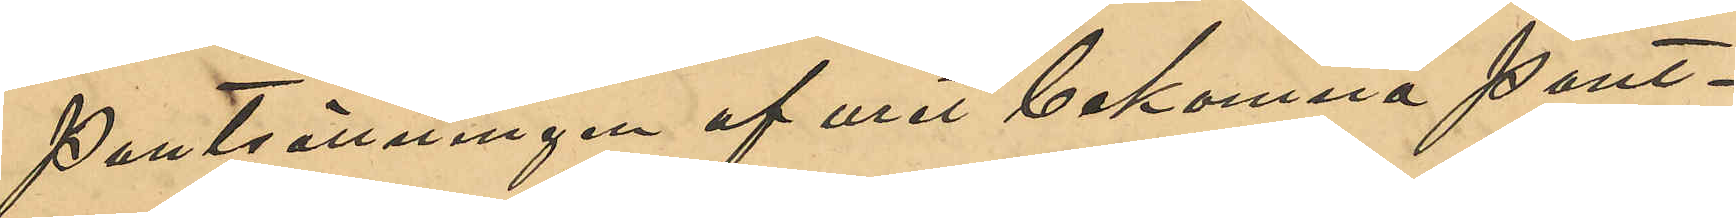pantsättningen af uret bekomna pant¬
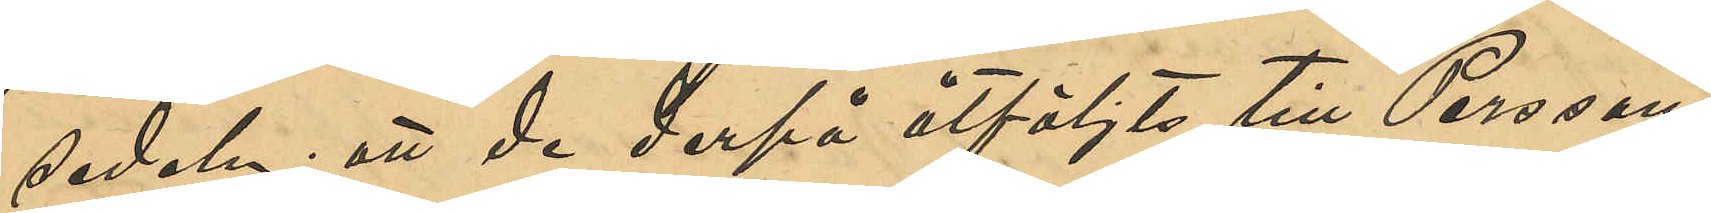sedeln; att de derpå åtföljts till Perssons
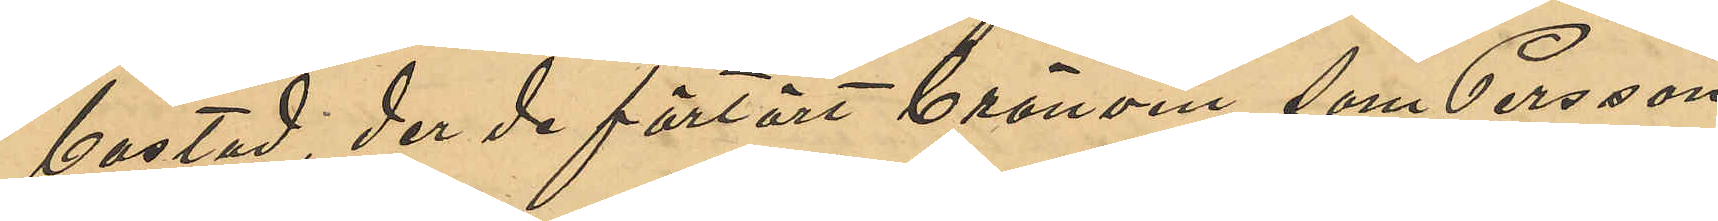bostad, der de förtärt brännvin, som Persson
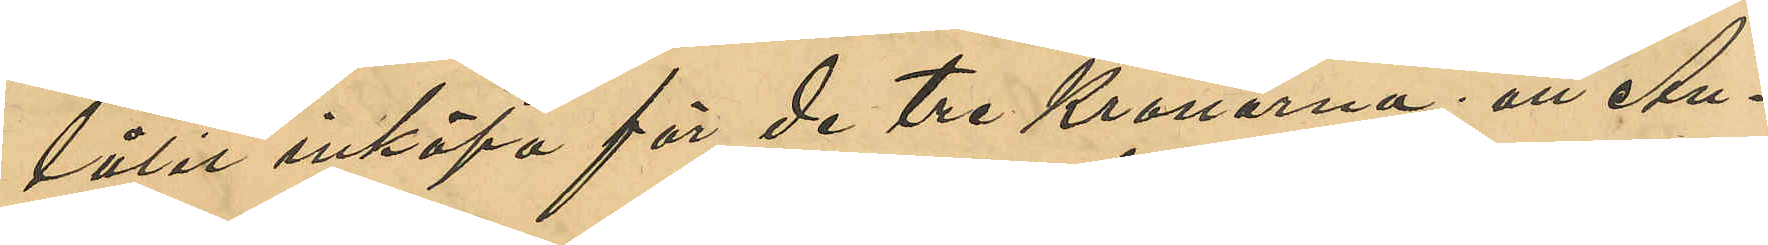låtit inköpa för de 3 Kronorna; att An¬
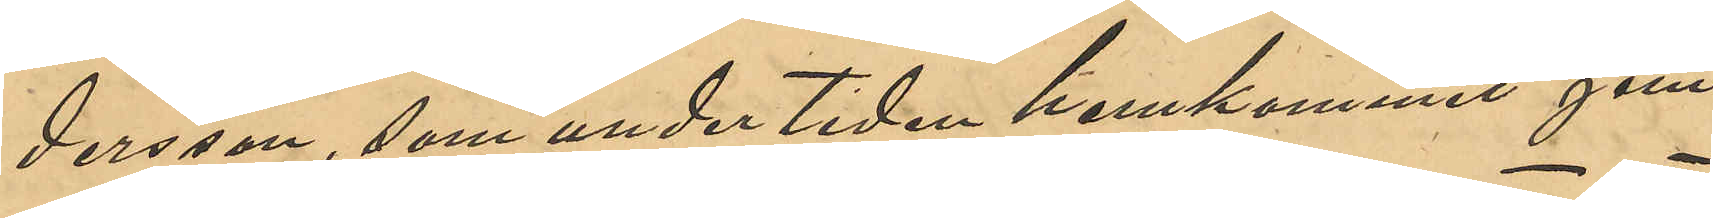dersson, som under tiden hemkomit jem¬
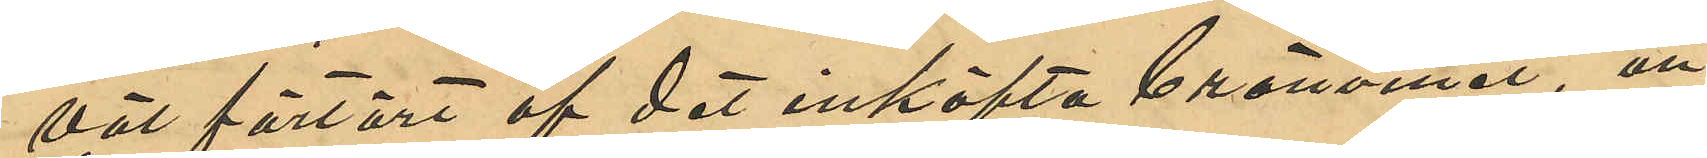väl förtärt af det inköpta brännvinet, att
